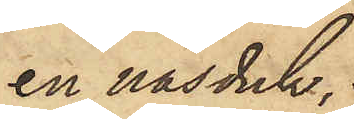en näsduk,
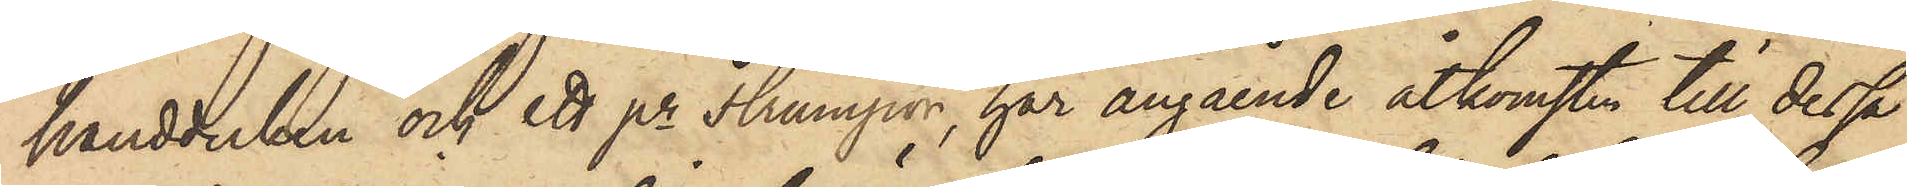handduken och ett pr strumpor, har angående åtkomsten till dessa
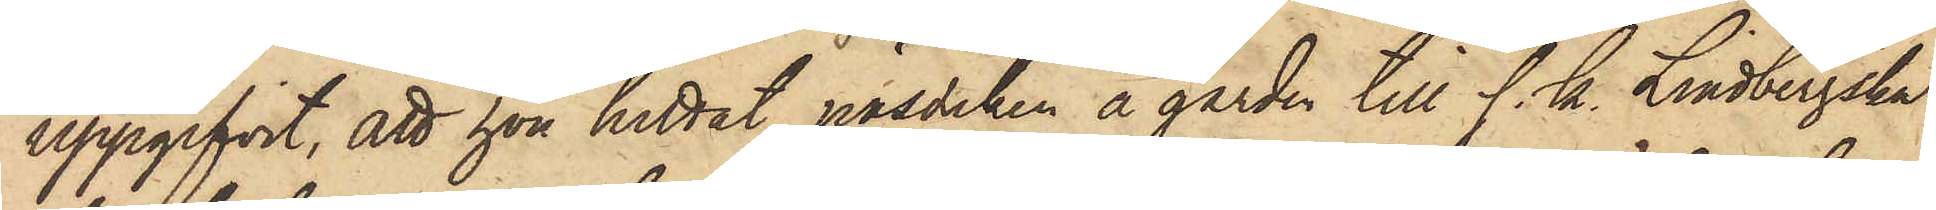uppgifvit, att hon hittat näsduken å gården till s. k. Lindbergska
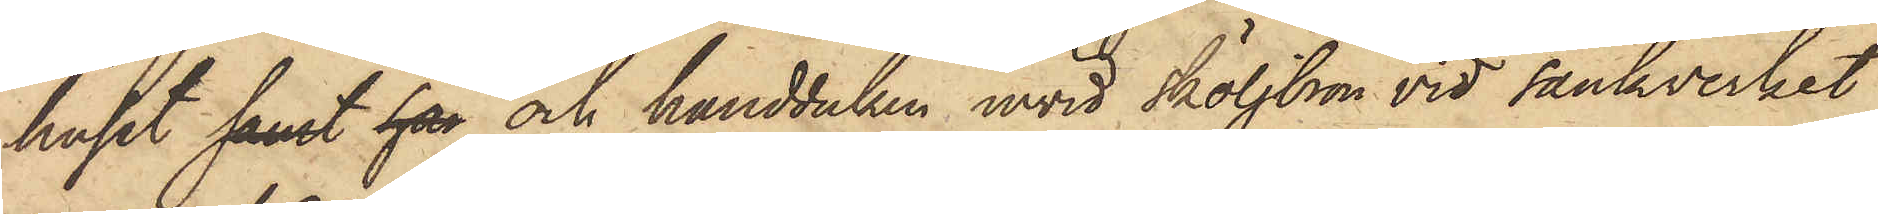huset samt han och handduken invid sköljbron vid Sänkverket
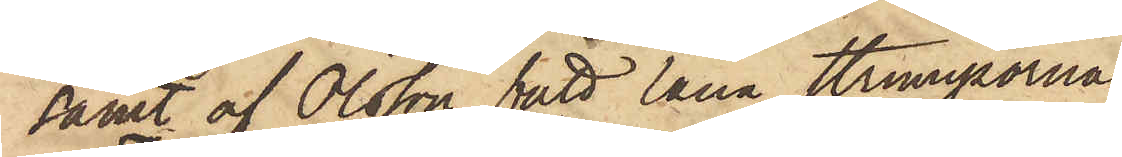samt af Olsson fått låna strumporna.
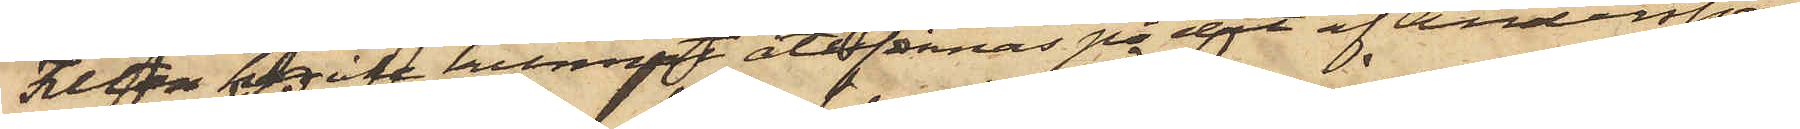Filten har icke kunnat återfinnas på det af Andersson
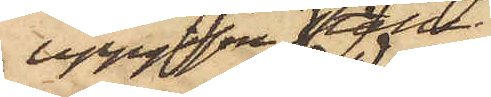uppgifne ställe.
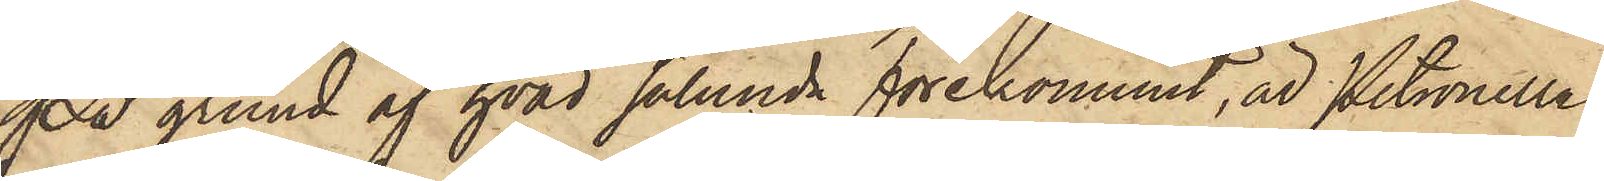På grund af hvad sålunda förekommit, är Petronella
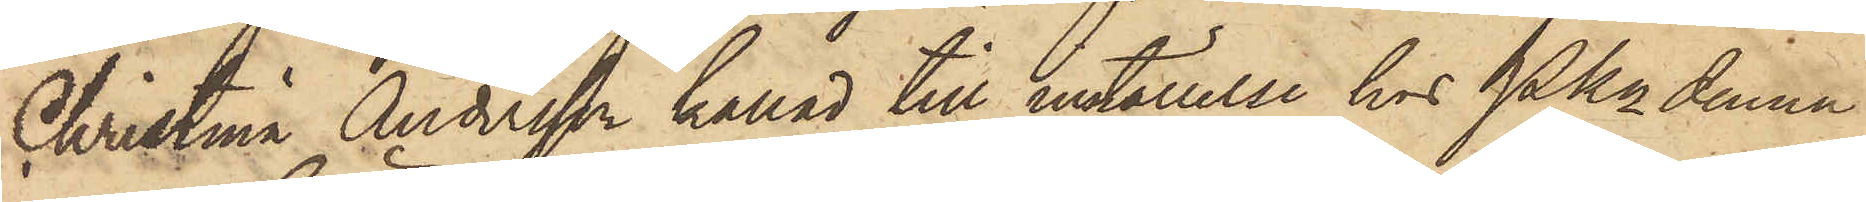Christina Andersson kallad till inställelse hos Pkn denna
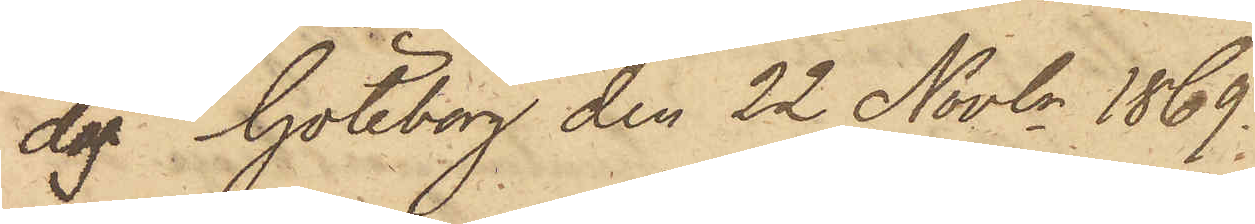dag. Göteborg den 22 Novbr 1869.
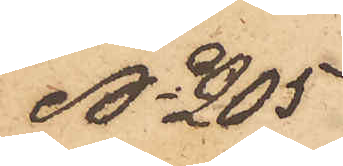No 205
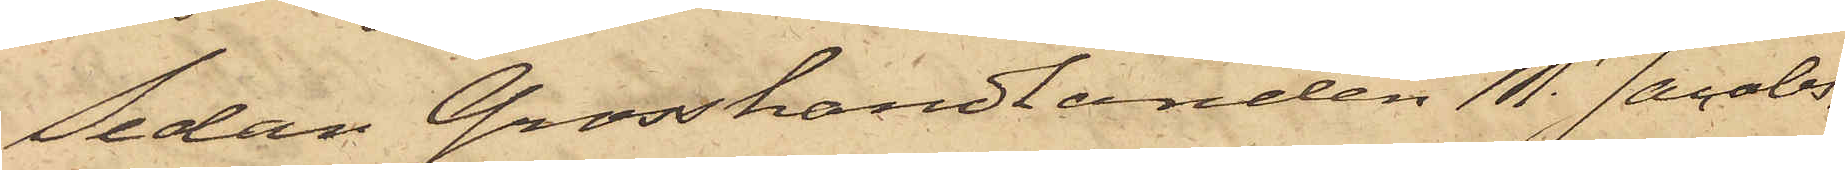Sedan Grosshandlanden M. Jacobs¬
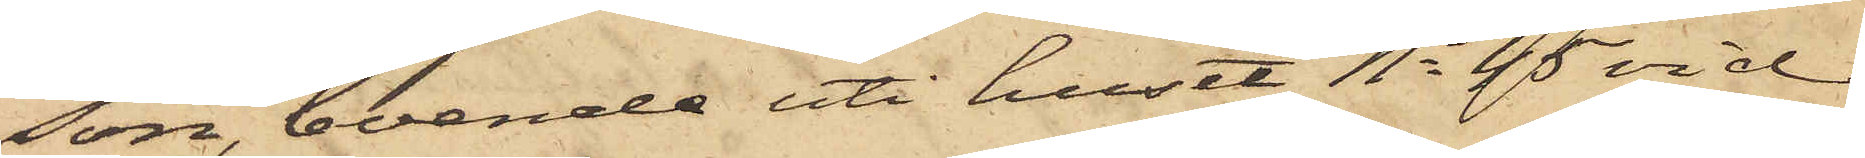son, boende uti huset No 45 vid
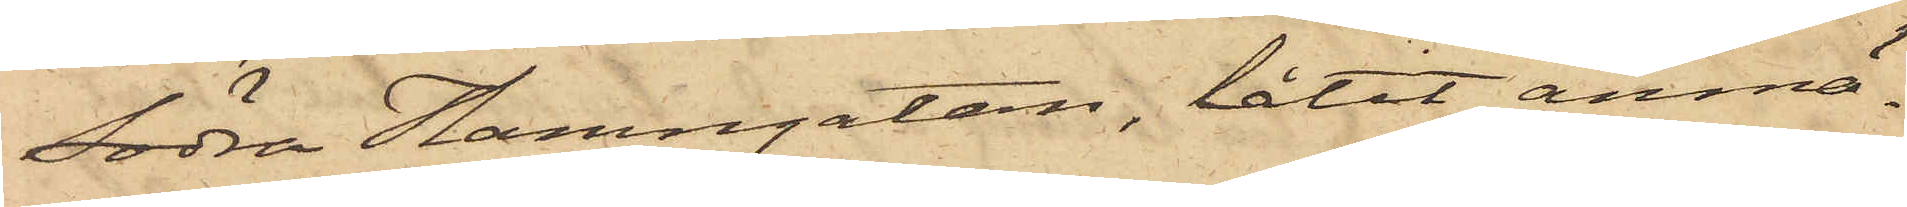Södra Hamngatan, låtit anmä¬
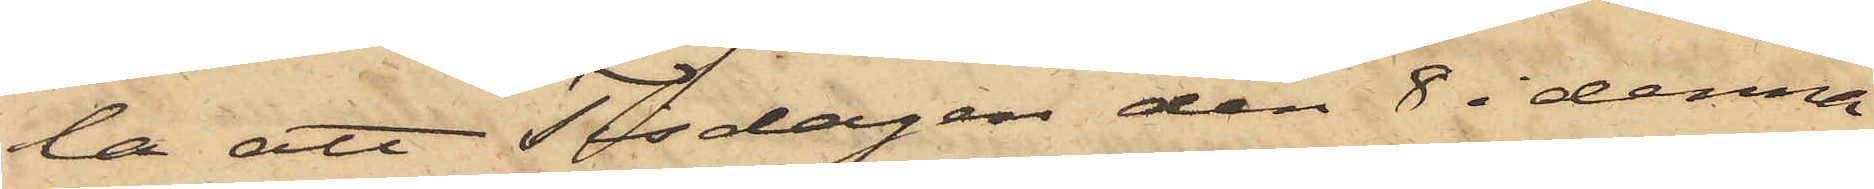la att Tisdagen den 8 i denna
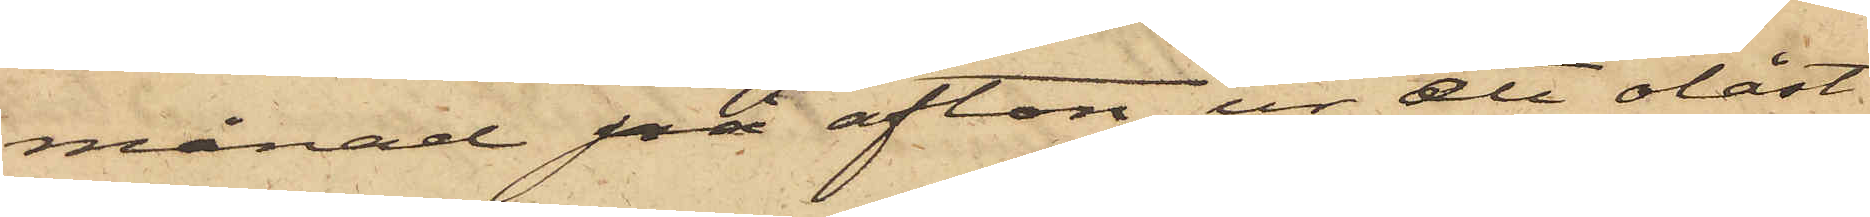månad på afton ur ett olåst
